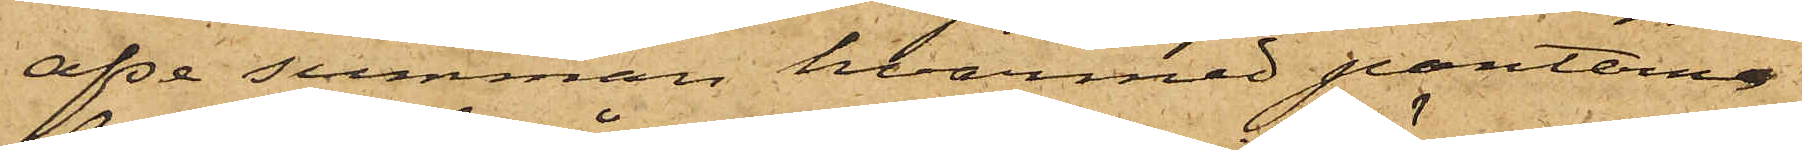afse summan, hvarmed panterne
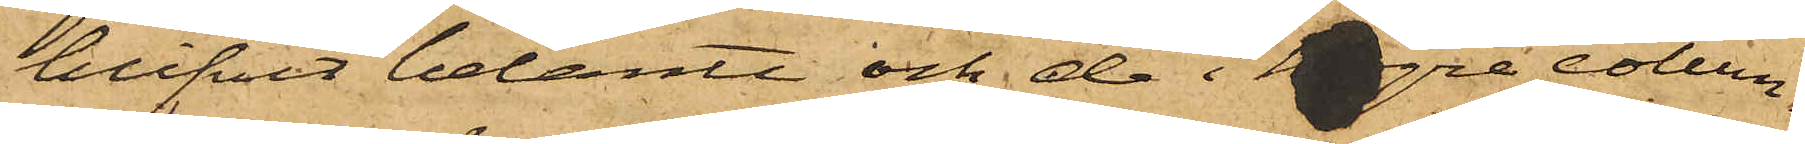blifvit belånte och de i högre colum¬
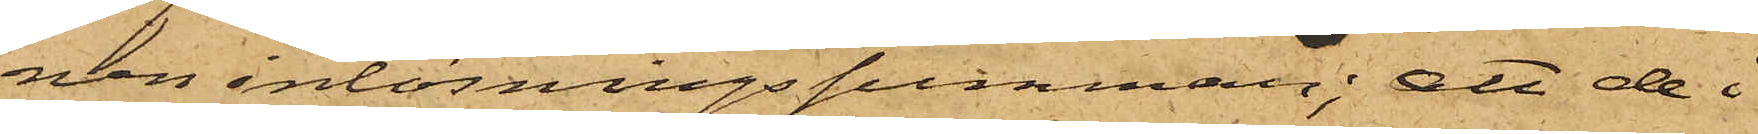nen inlösningssumman; att de i
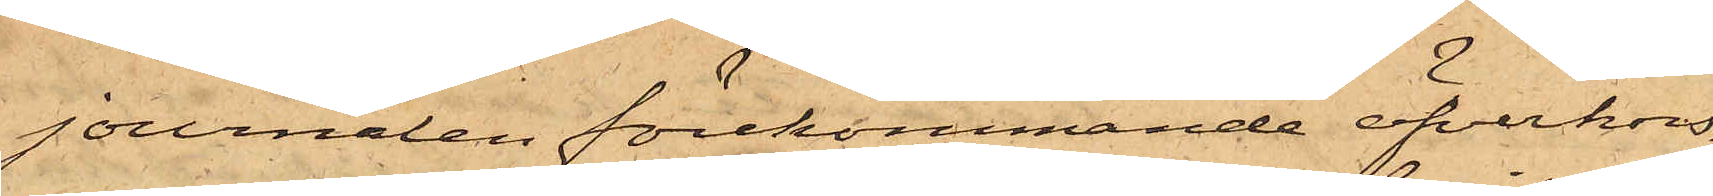journalen förekommande öfverkors¬
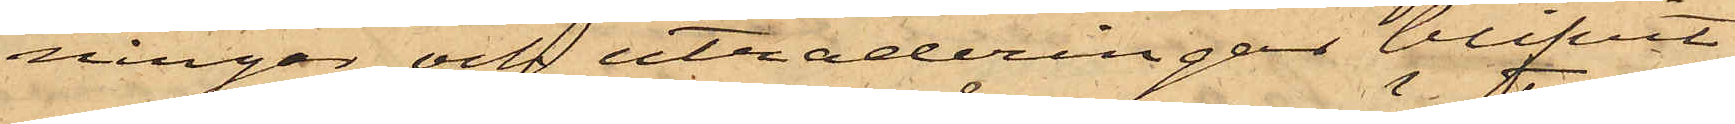ningar och utraderingar blifvit
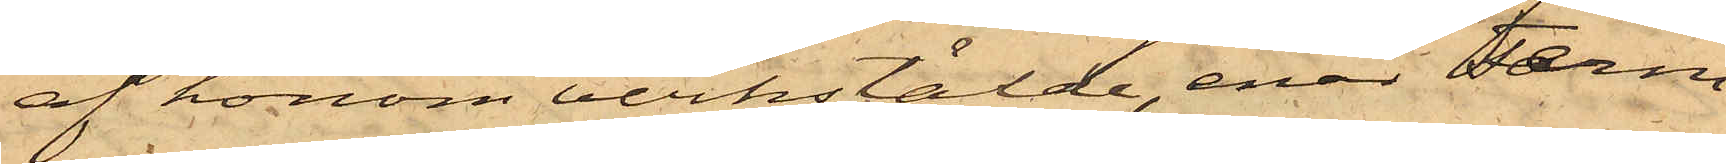af honom verkstälde, enär Ferm
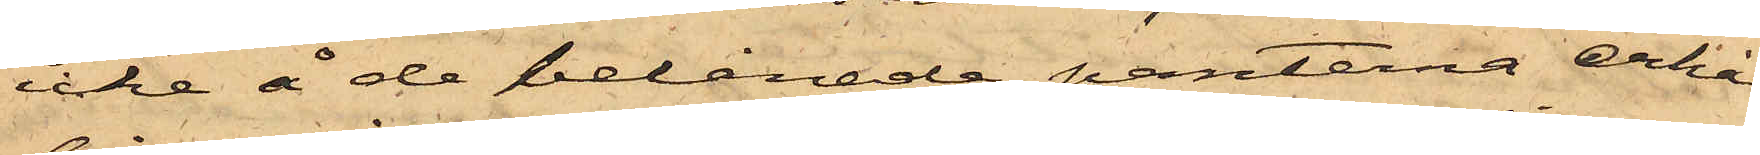icke å de belånade pantina erhål¬
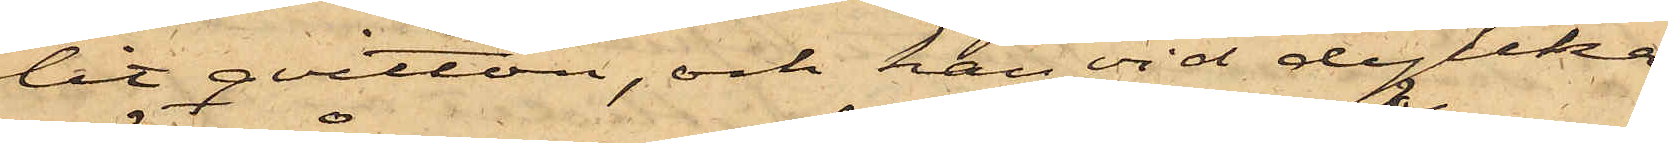lit qvitton, och han vid dylika
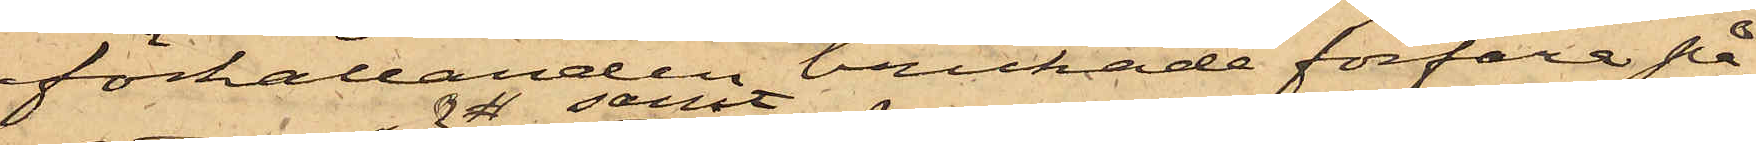förhållanden brukade förfara på
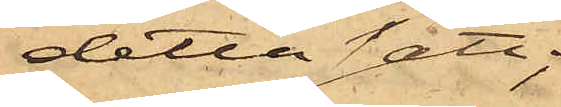detta sätt,
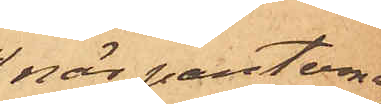när panterne
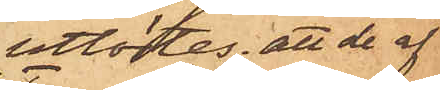utlöstes; att de af
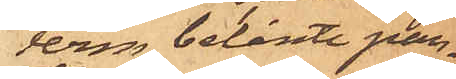Ferm belånte pan¬
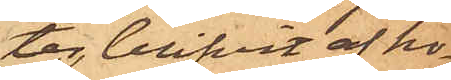ter, blifvit af ho¬
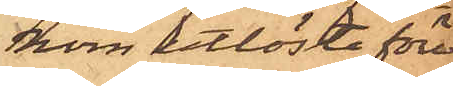nom utlösta före
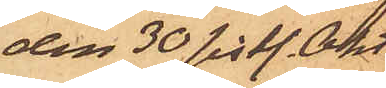den 30 sistl. Okt.
